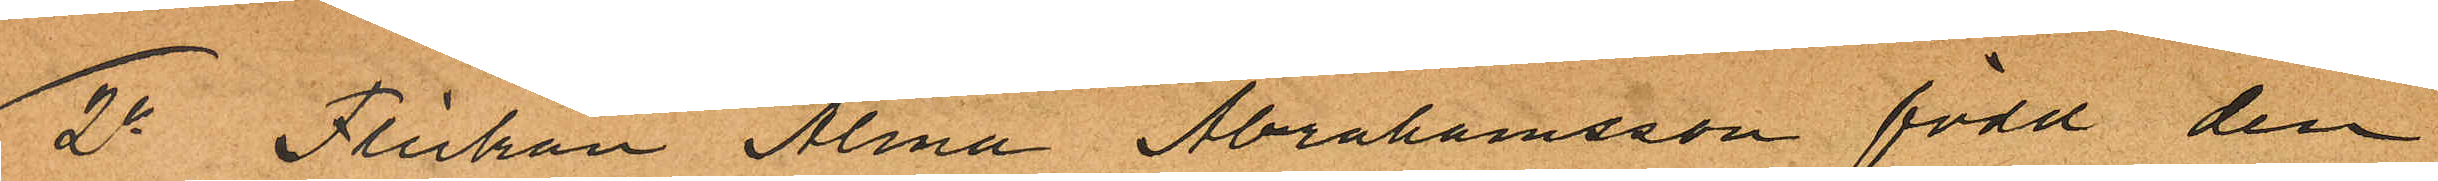2o Flickan Alma Abrahamsson född den
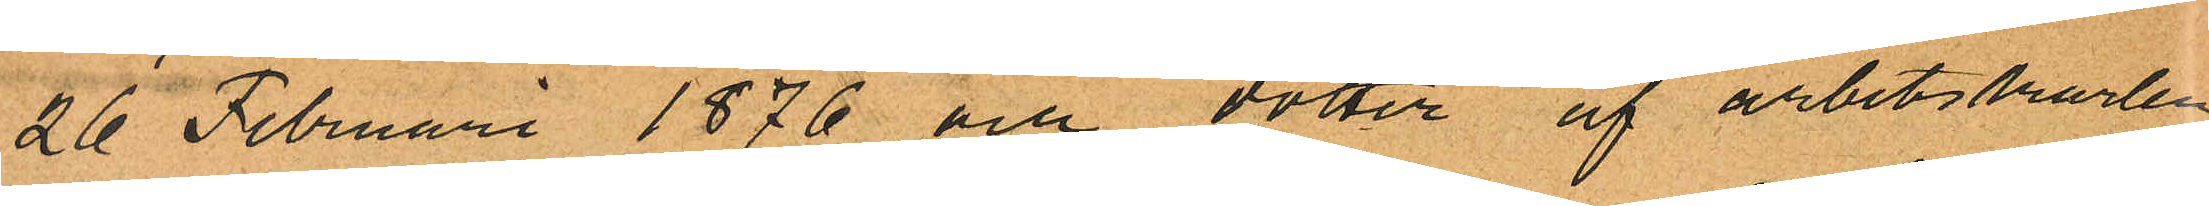26 Februari 1876 och dotter af arbetskarlen
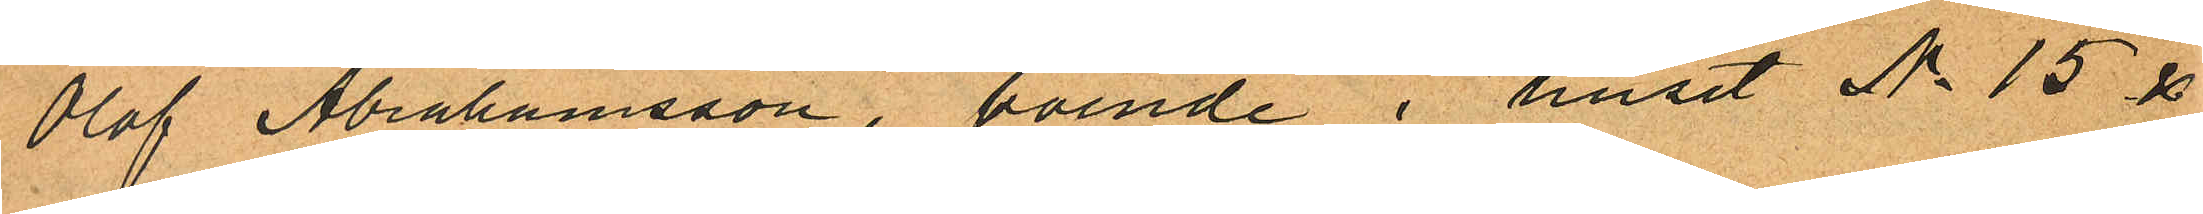Olof Abrahamsson, boende i huset No 15 &
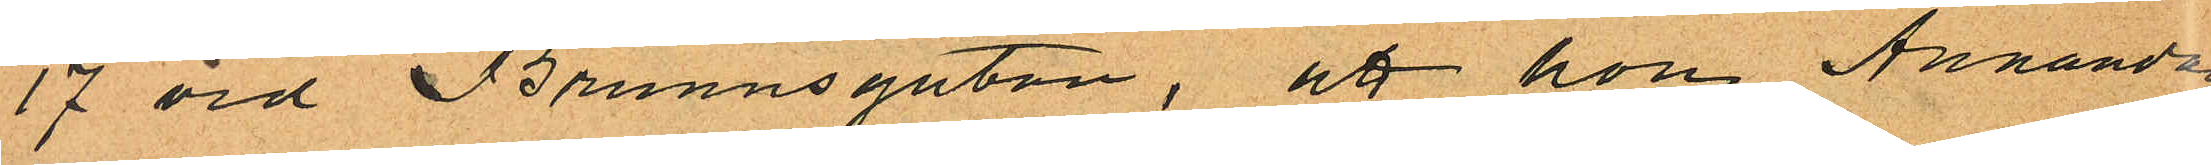17 vid Brunnsgatan, att hon Annandag
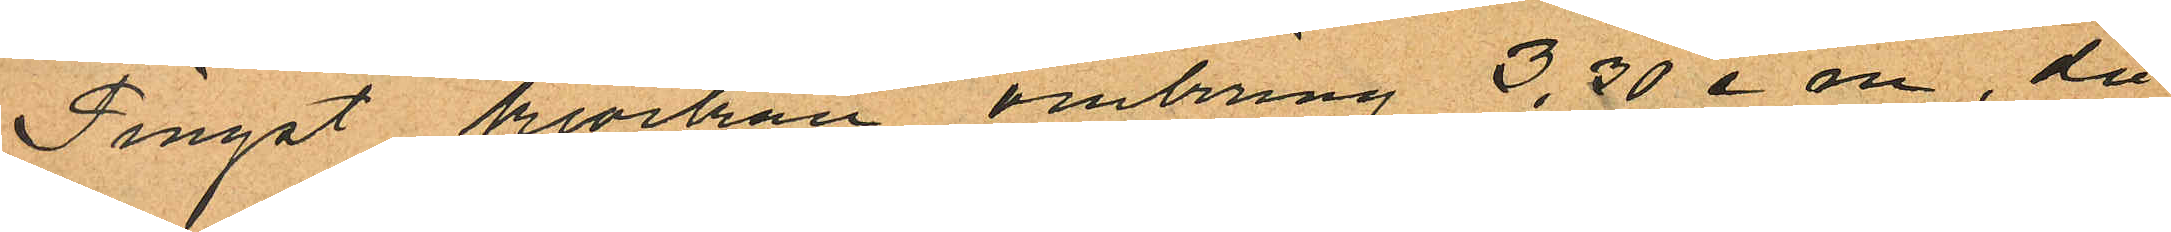Pingst klockan omkring 3,30 e m, då
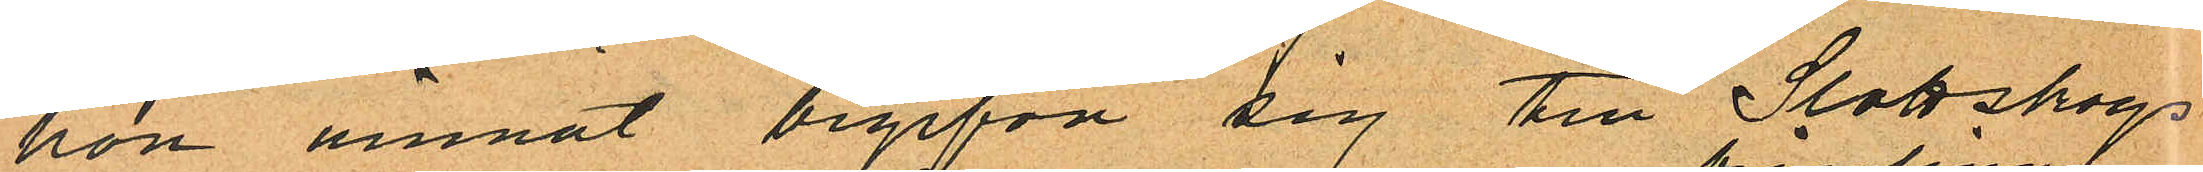hon ämnat begifva sig till Slottskogs
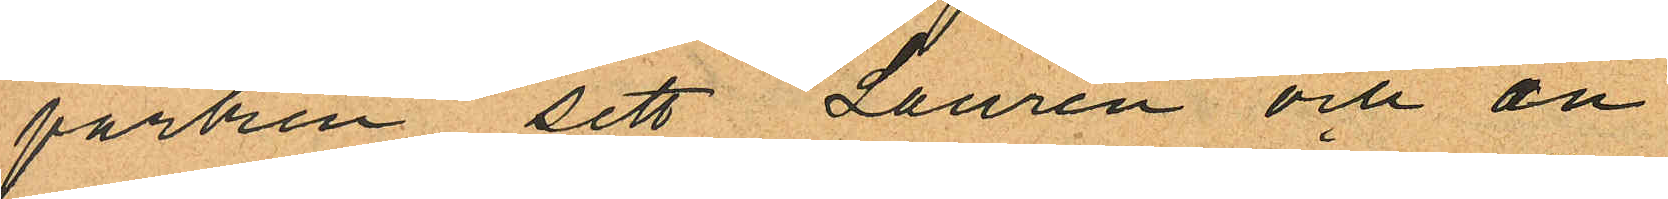parken sett Laurén och en
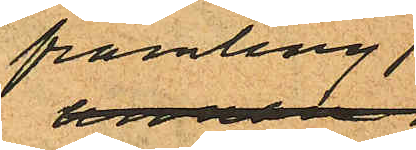främling
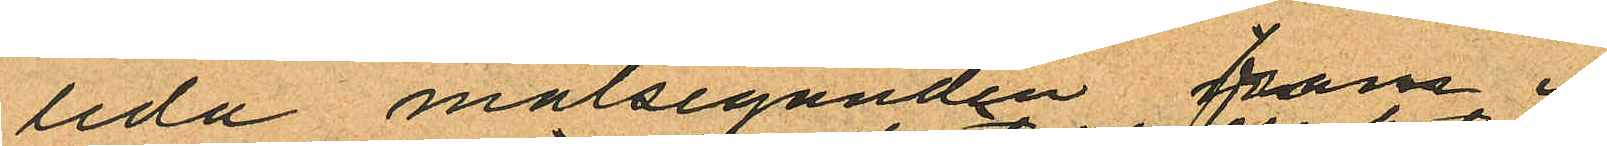leda målseganden fram i
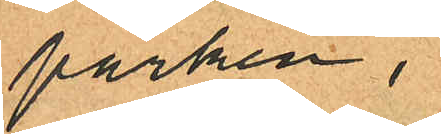parken,
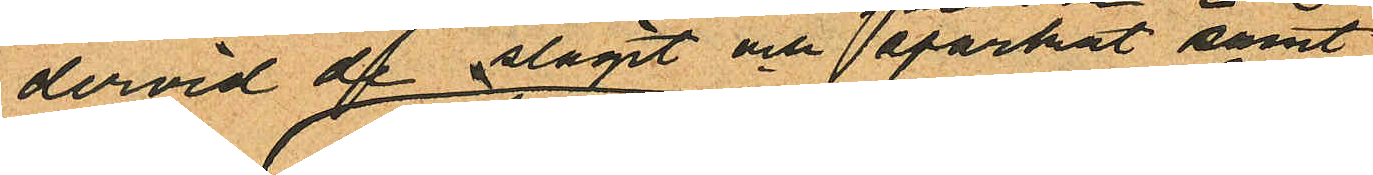dervid af slagit och sparkat samt
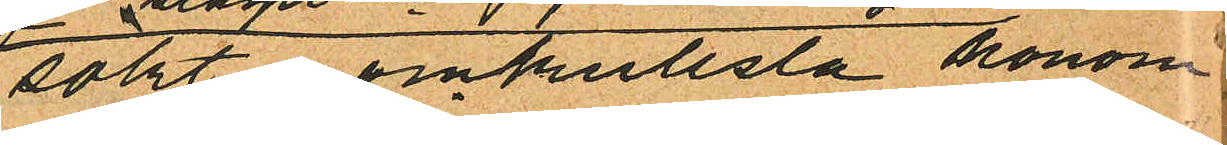sökt omkullslå honom
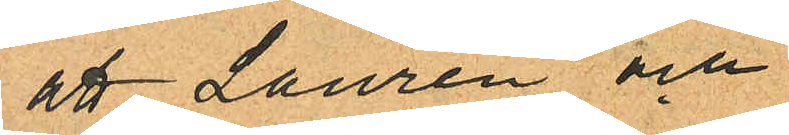att Laurén och
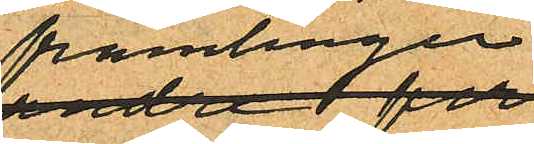främlingen
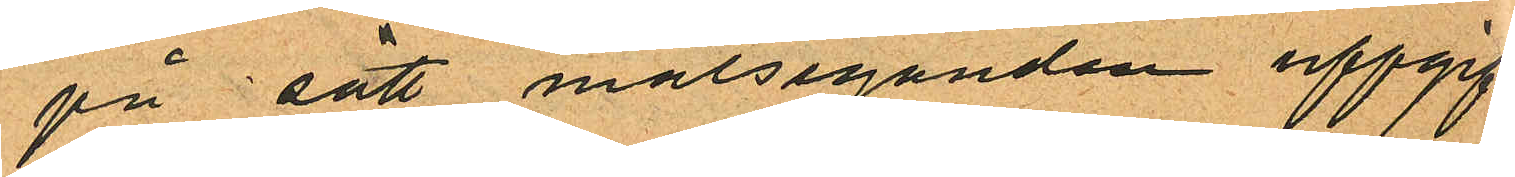på sätt målseganden uppgif
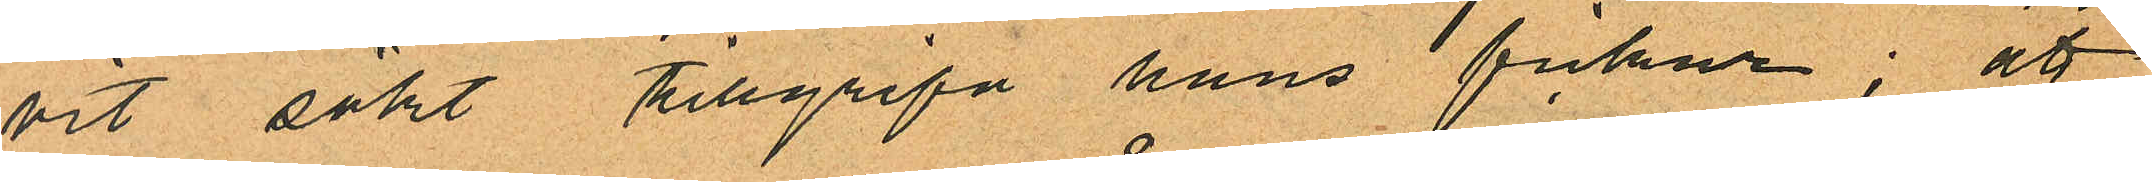vit sökt tillgripa hans fickur; att
